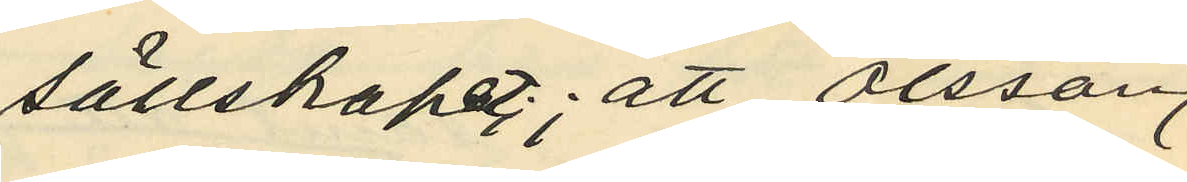sällskapet; att Olsson
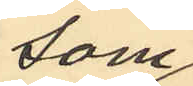som
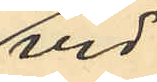vid
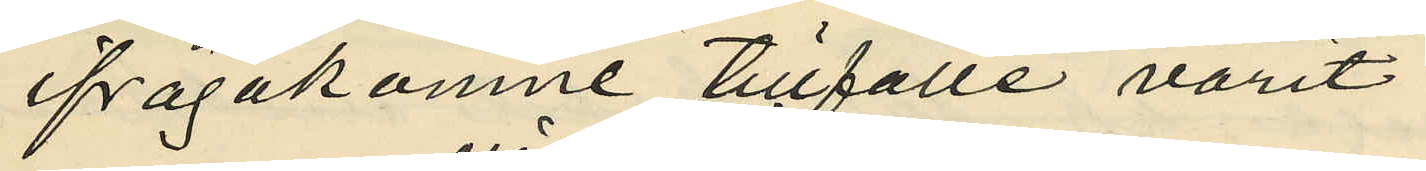ifrågakomne tillfälle varit
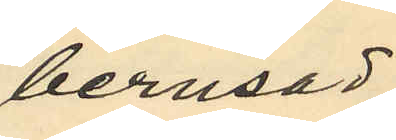berusad,
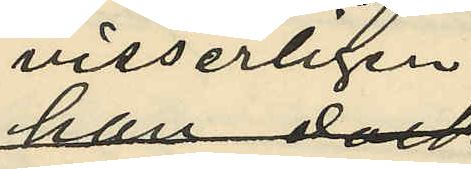visserligen
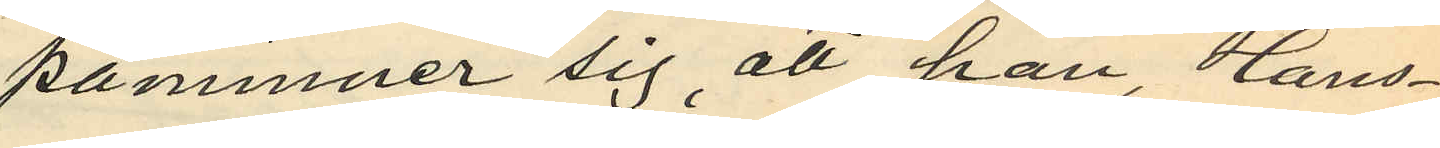påminner sig att han, Hans¬
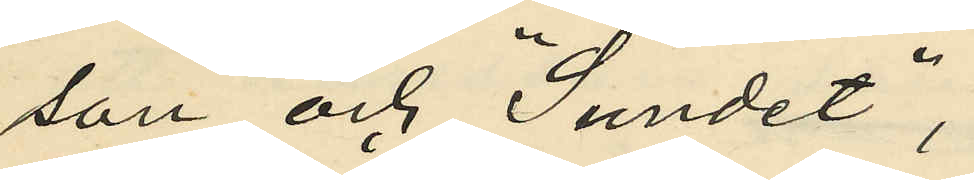son och "Sundet",
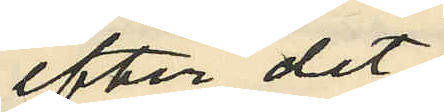efter det
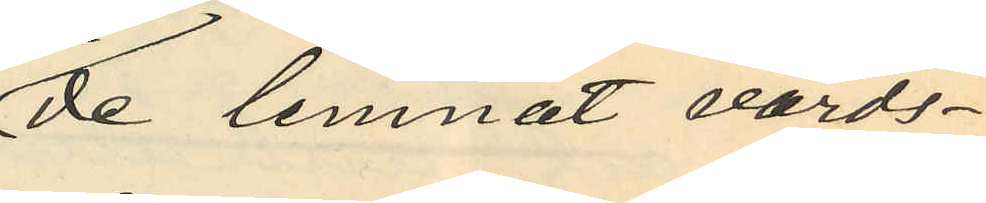de lemnat värds¬
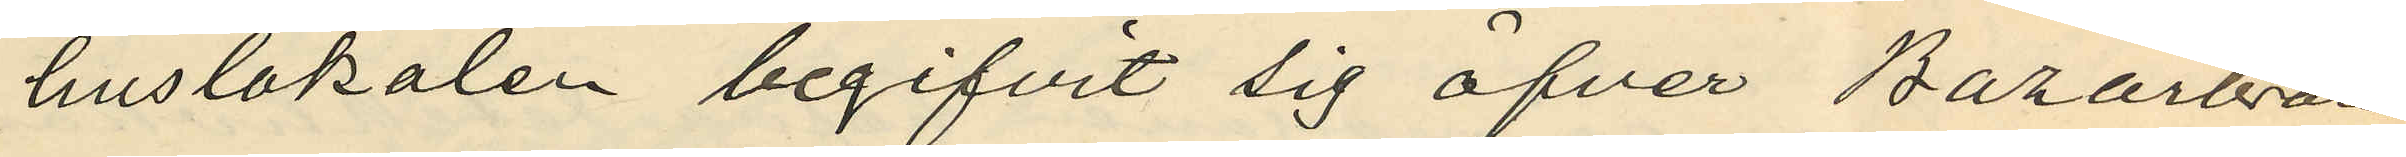huslokalen begifvit sig öfver Bazarbron
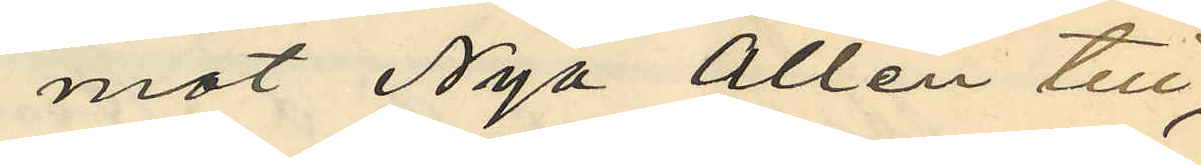mot Nya Allén till,
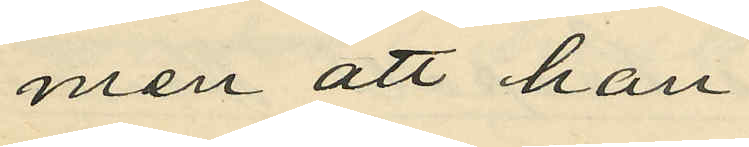men att han
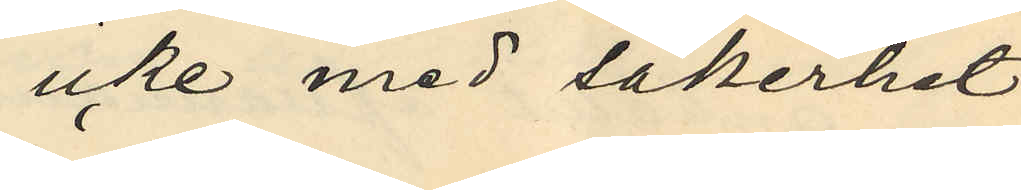icke med säkerhet
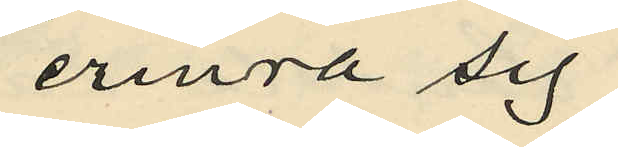erinra sig
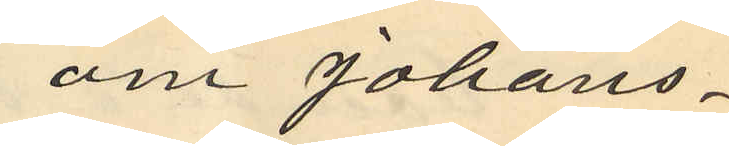om Johans¬
